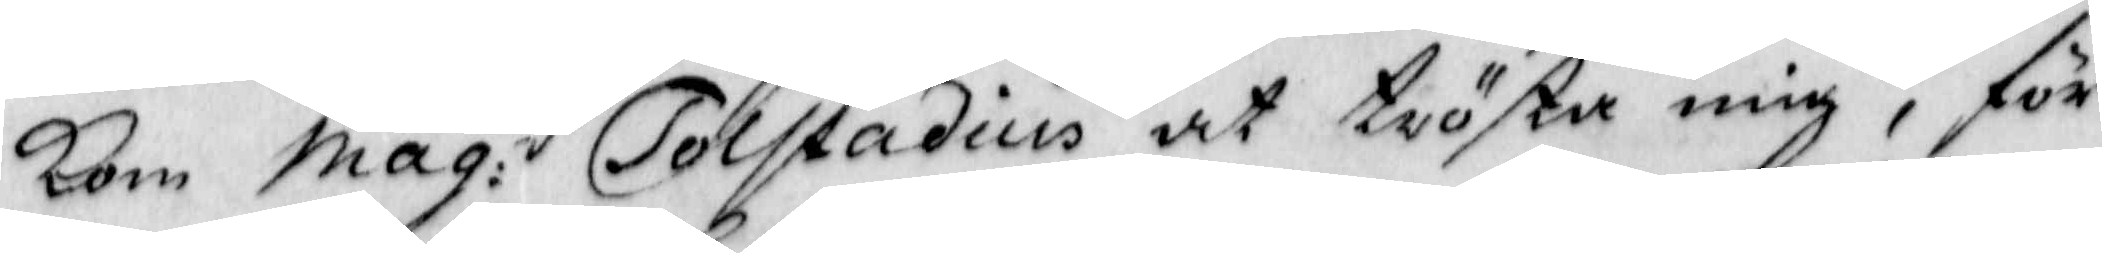Kom Mag: Tolfstadius at trösta mig, för
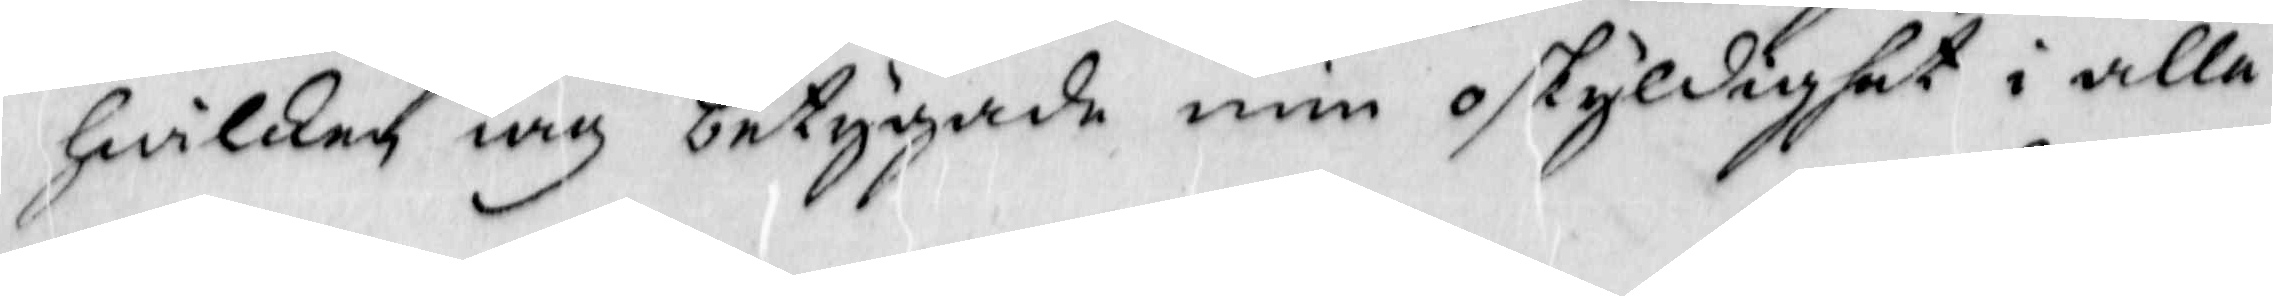Hwilken iag betygade min oskyldighet i alla 
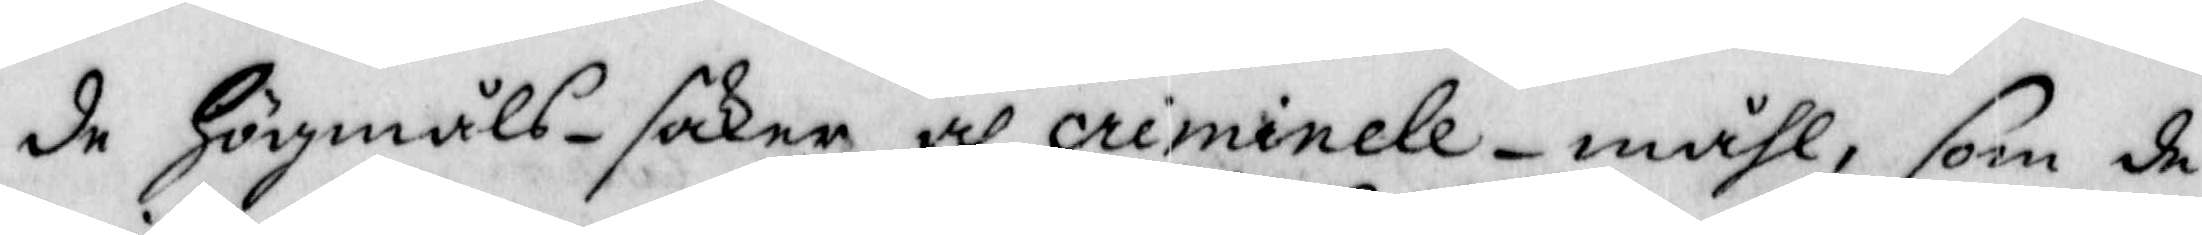de Högmåls-saker och criminele-måhl, som de
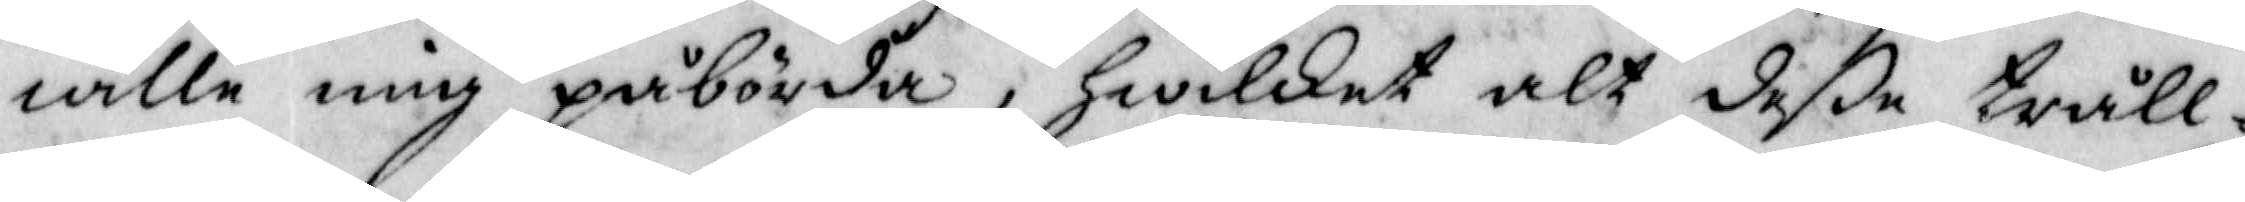wille mig påbörda, Hwilket alt deße tråll¬
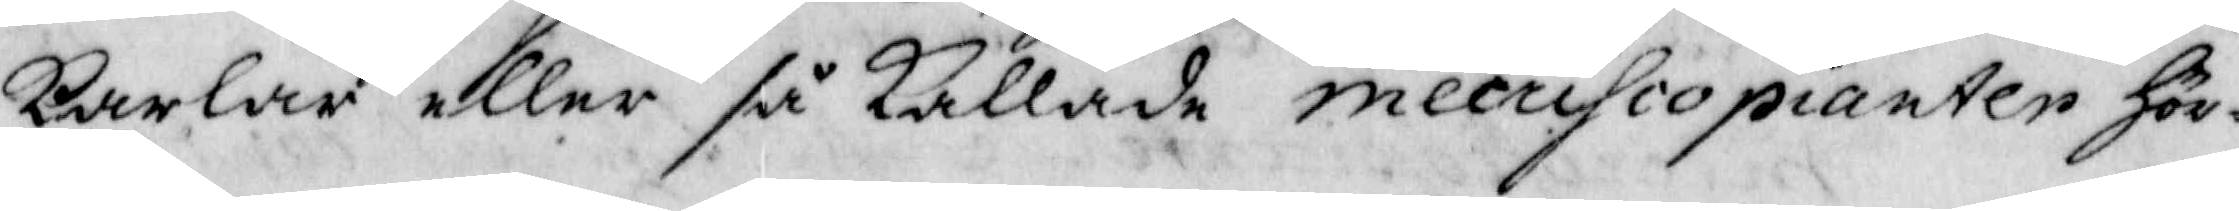karlar eller så Kallade mecrihpopianter Hör¬
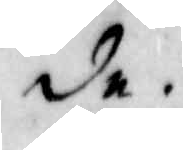de.
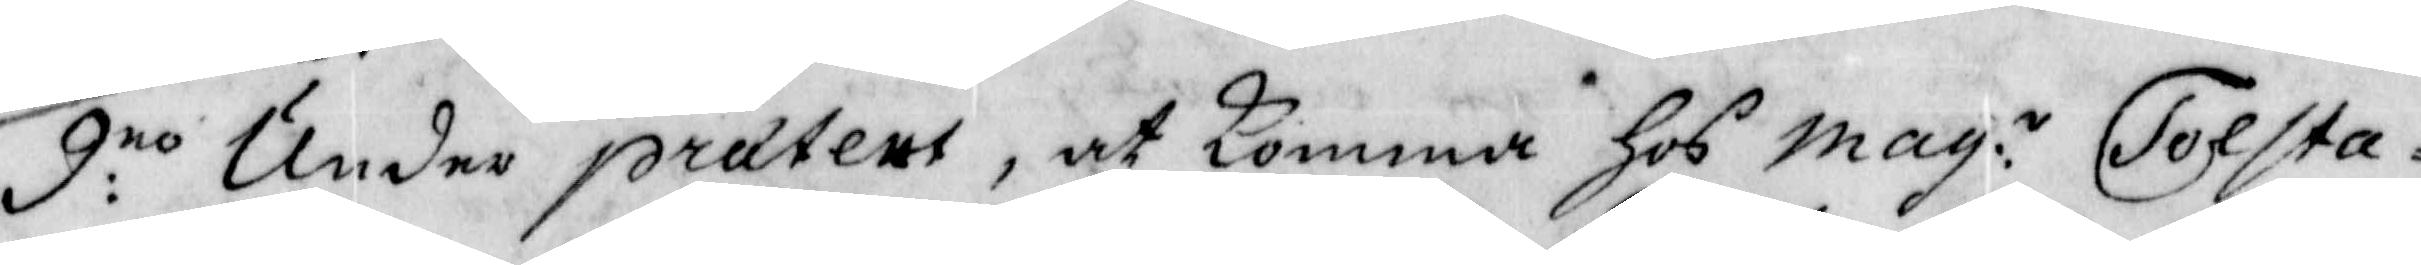9:no Under prätens, at Komma Hos Mag:n Tolsta
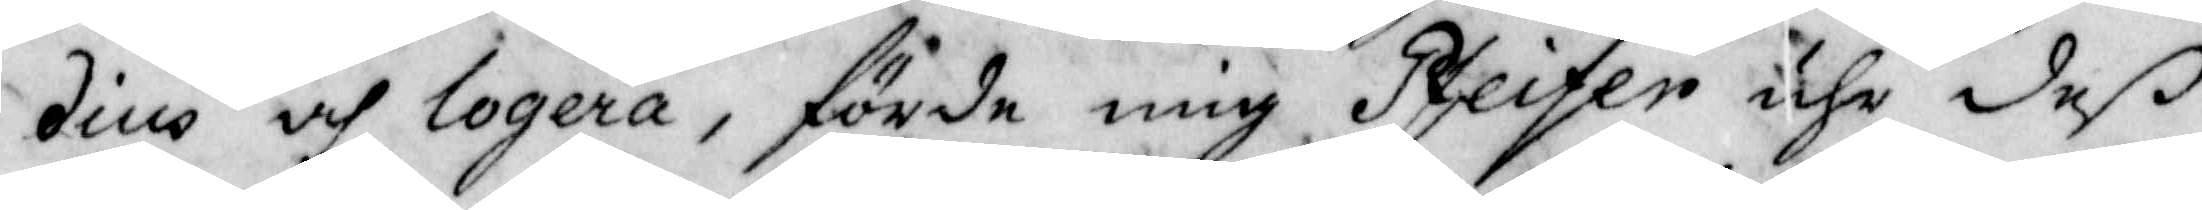dius och logera, förde mig Pfeifer uhr deß
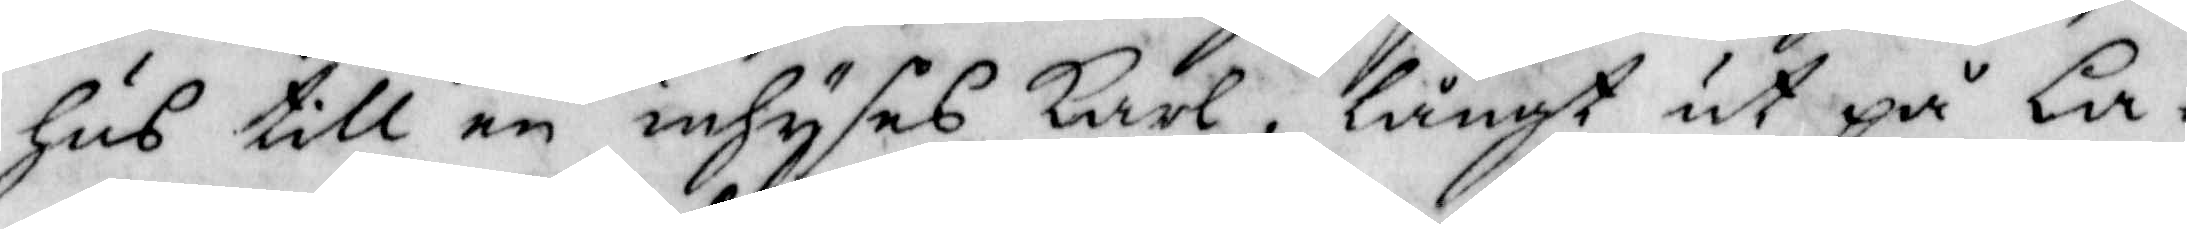Hus till en inhyses Karl, långt ut på La¬
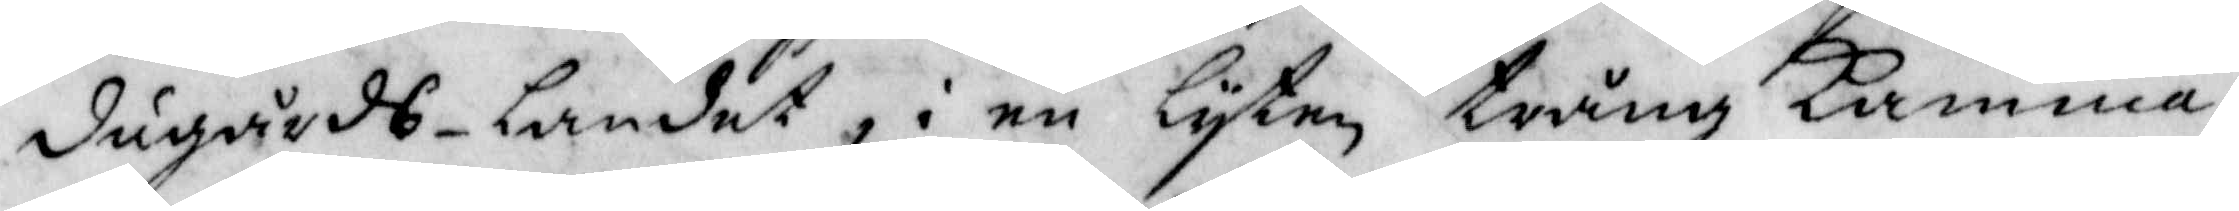dugårds-landet, i en lyten trång Kamma¬
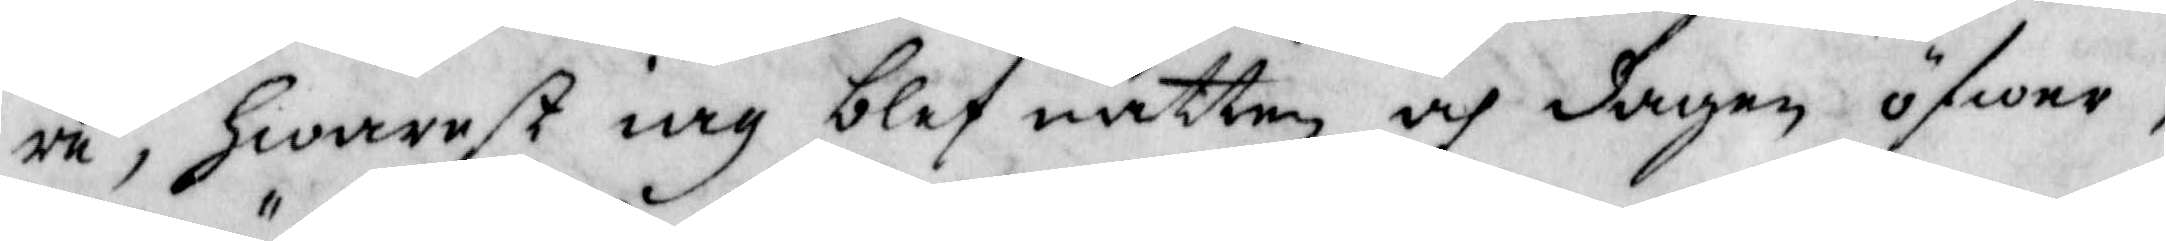re, Hwarest iag blef natten och dagen öfwer,
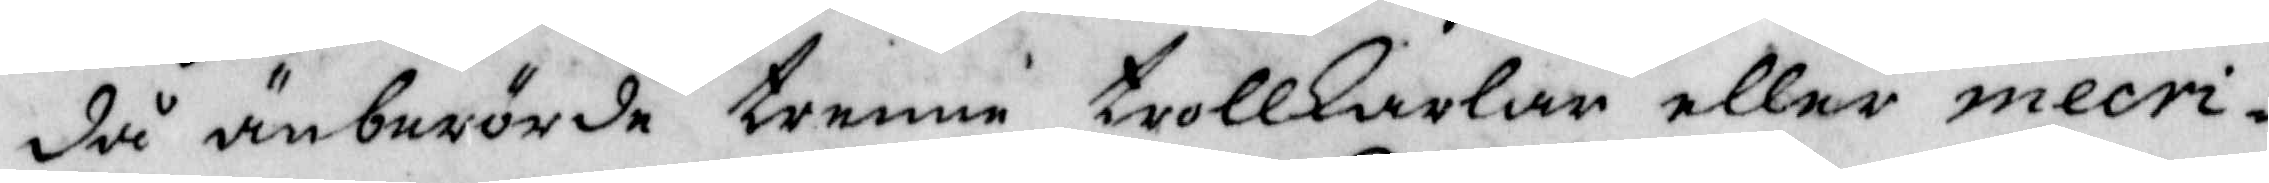då änberörde trenne trollKarlar eller mecri¬
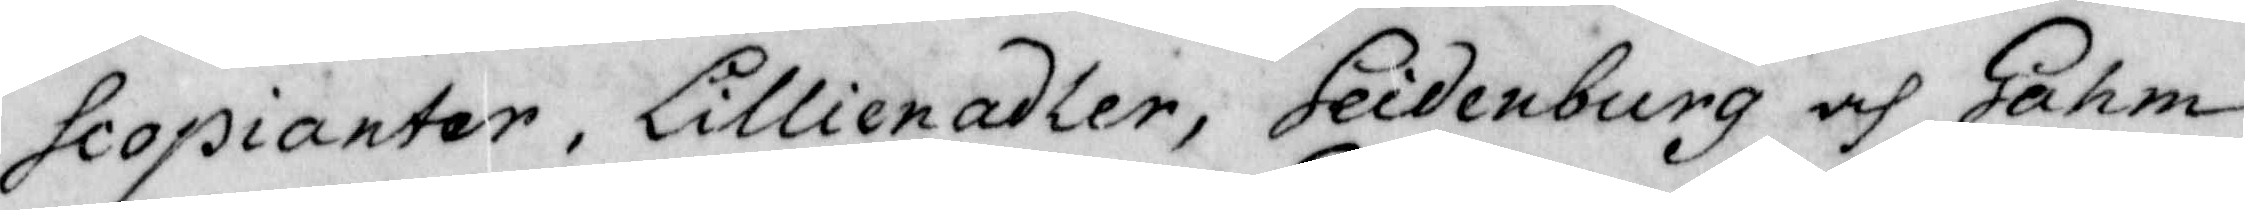hcopianter, Lillienadler, Seidenburg och Gahm
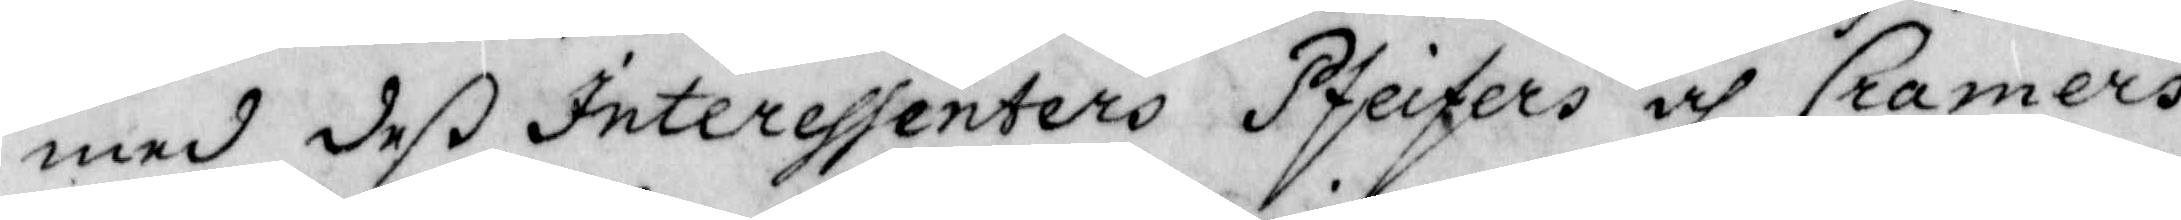med deß interessenters Pfeifers och Cramers
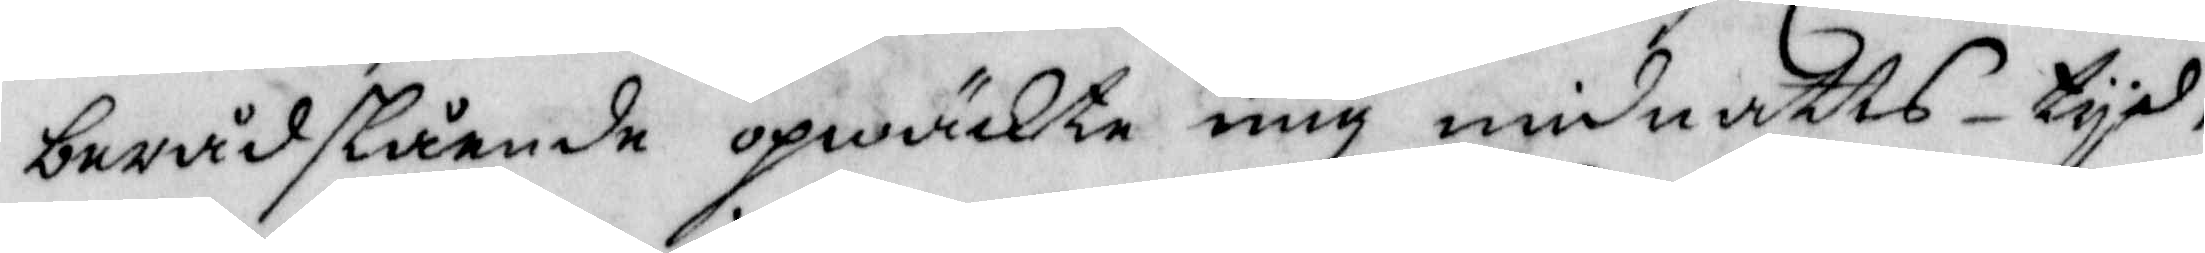berådstående opwäckte mig midnatts-tyd,
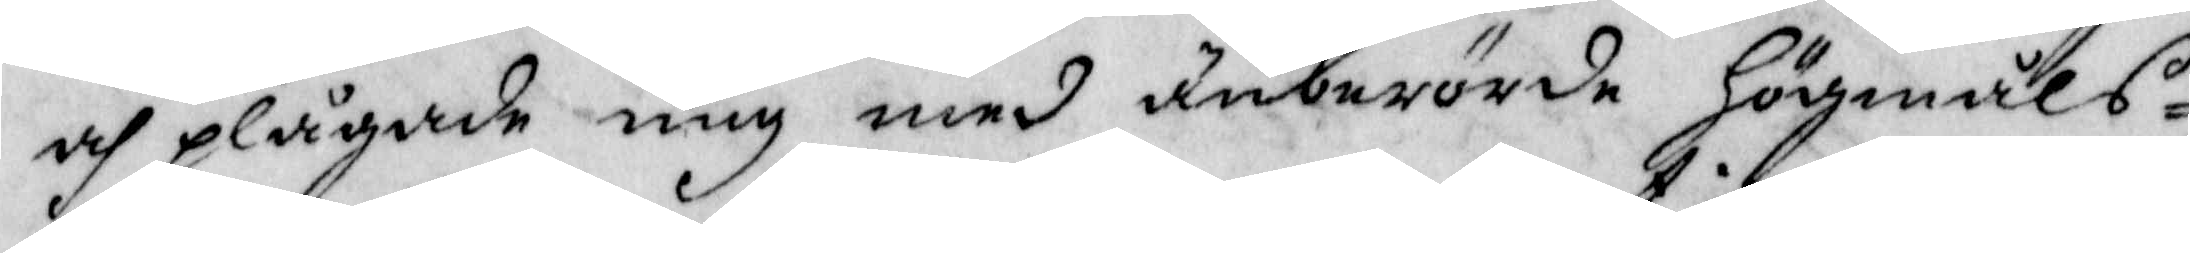och plågade mig med änberörde Högmåls¬
